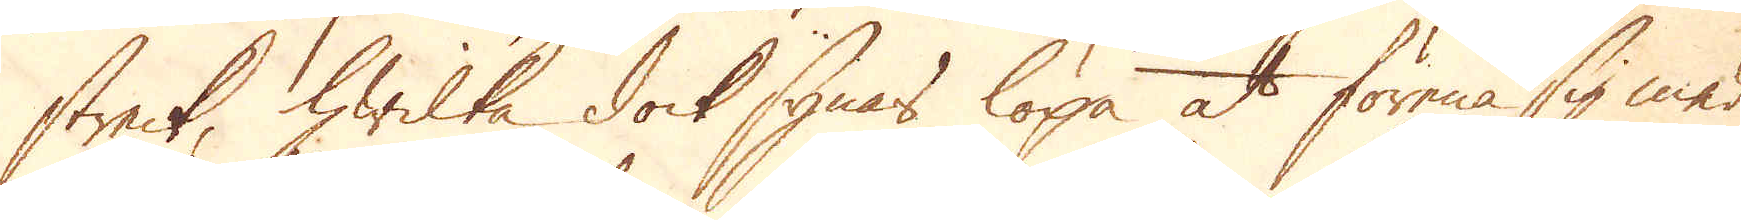streck, hwilka dock synas löpa at förena sig med
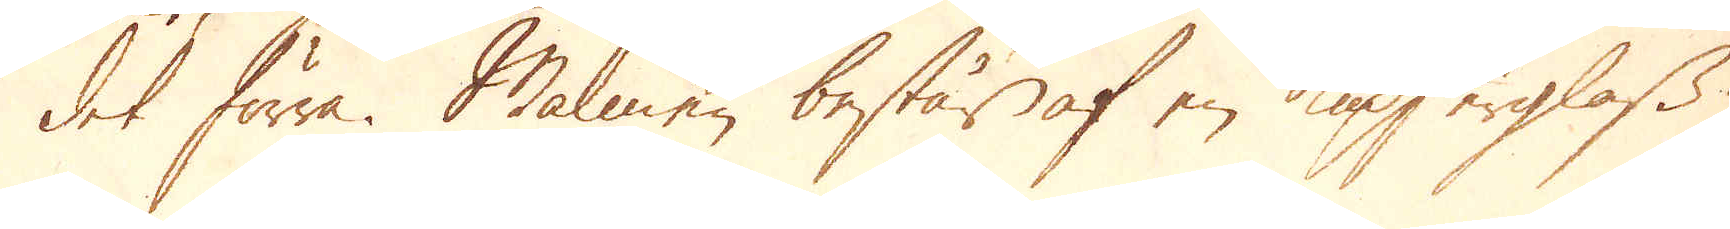det förra. Malmen består af en kupserglass
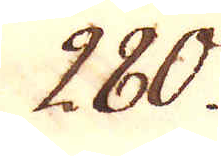280.
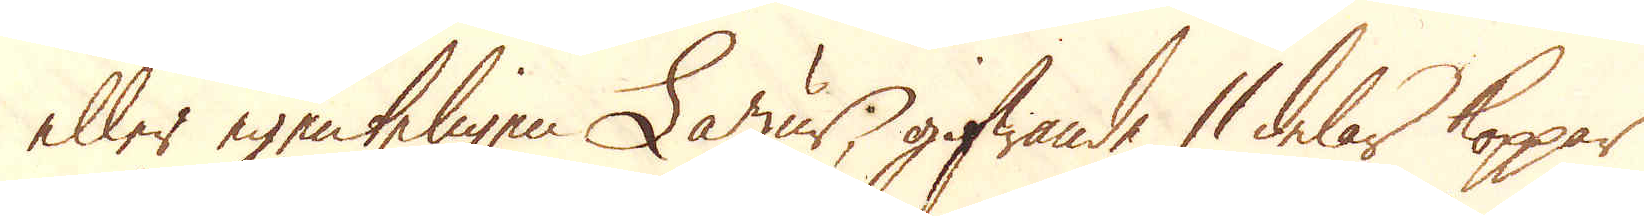eller egenteligen Lazur, gifwande 11 delar koppar
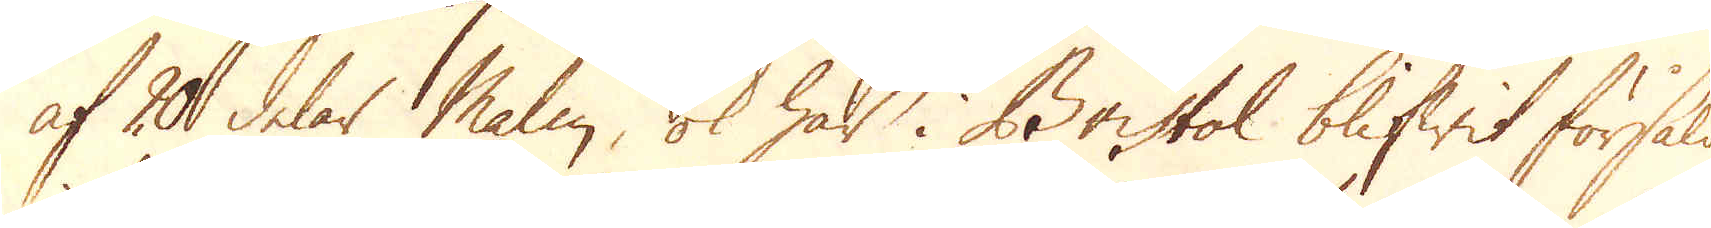af 20 delar Malm, ok har i Bristol blifwit försåld
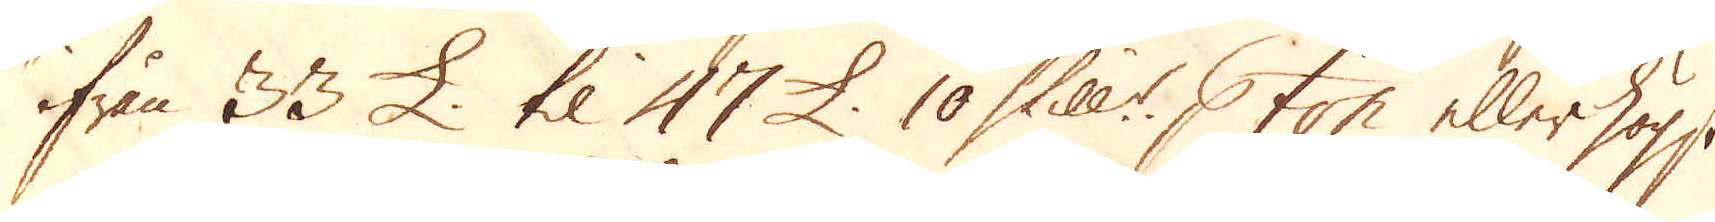ifrån 33 £ til 47 £. 10 Skill:r p ton eller högst
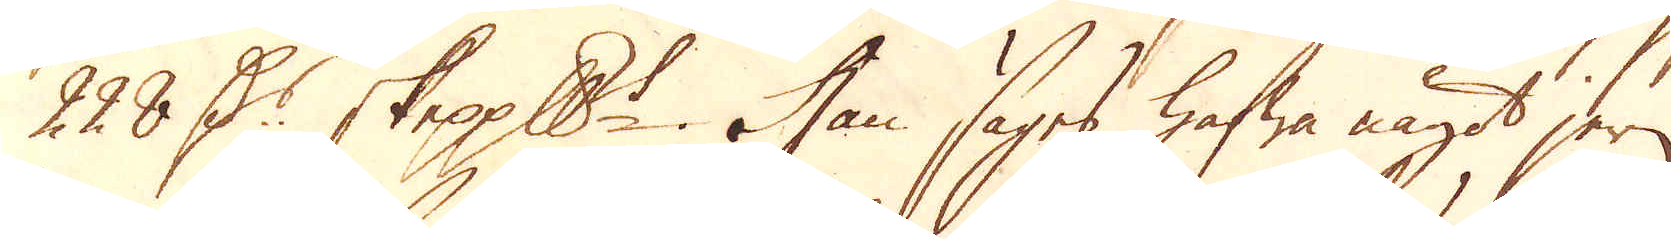228 D:r skeppundet. Han säges hafwa något jern
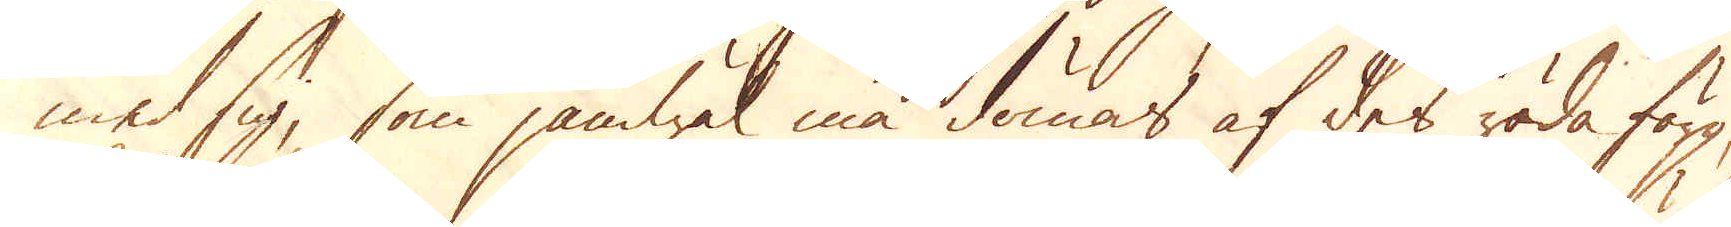med sig, som jämwäl må dömas af des röda färg,
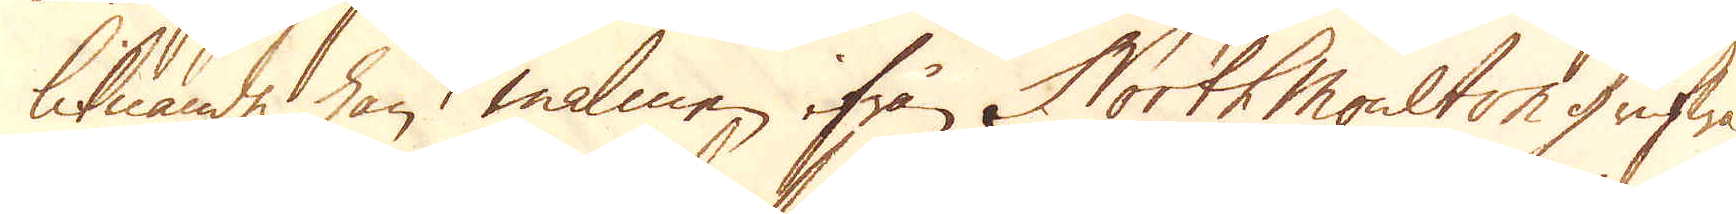liknande han malmen ifrån North Moulton grufwa.
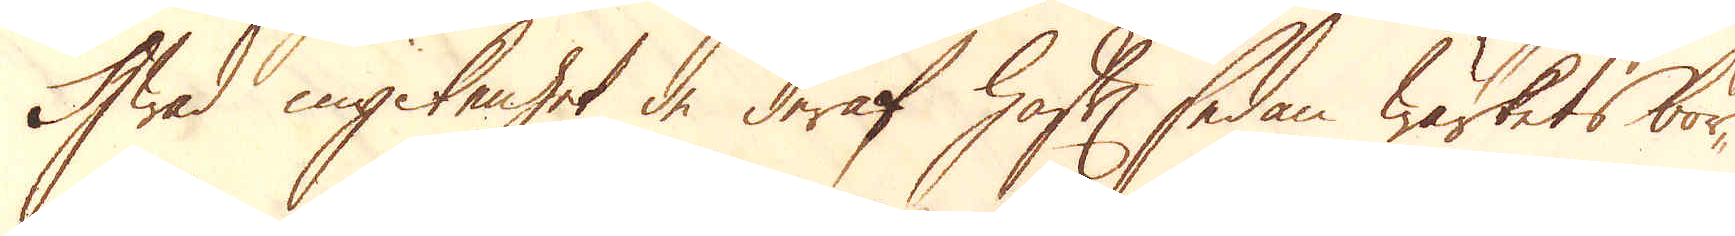Hwad myckenhet de deraf haft sedan wärkets bör-
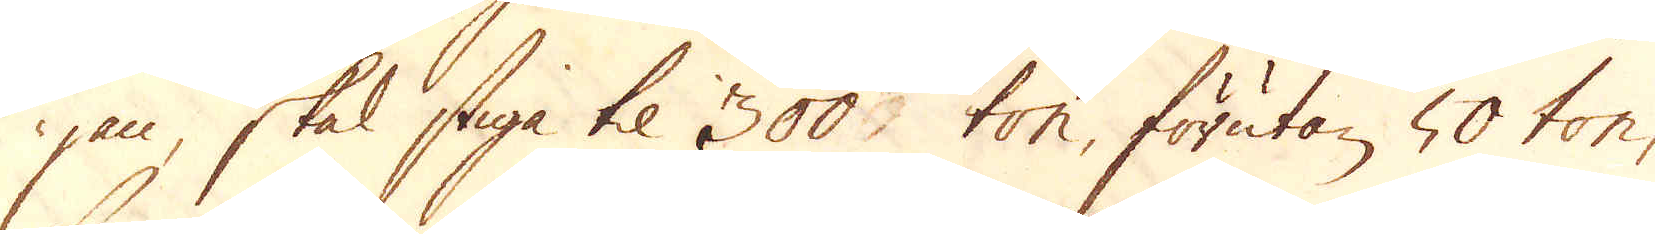jan, skal stiga til 300 ton, förutan 50 ton,
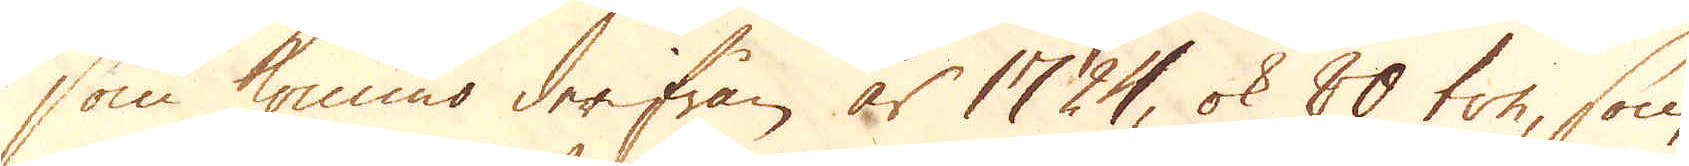som kommo derifrån år 1724, ok 80 ton, som
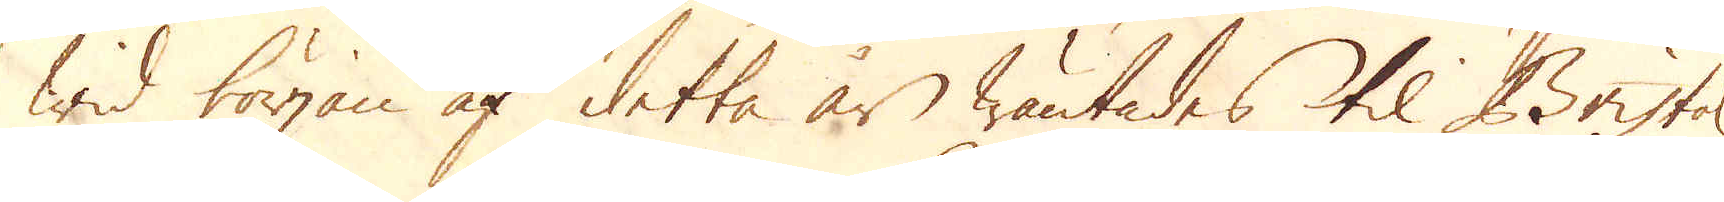wid början af detta år wäntades til Bristol
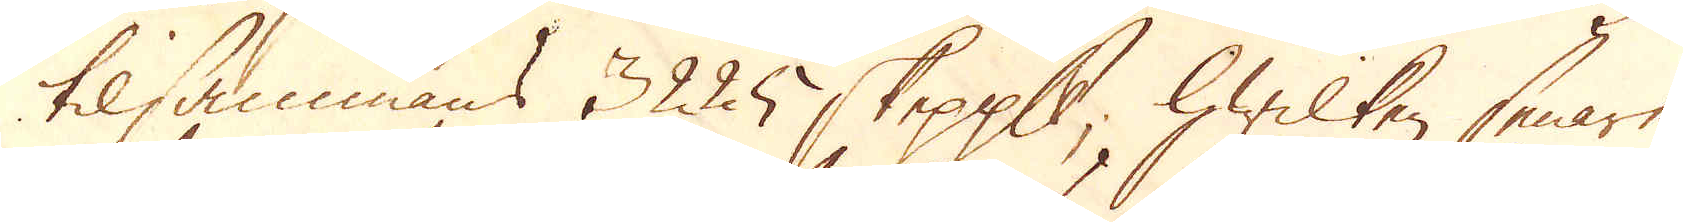tilsammans 3225 skeppund, hwilken senare
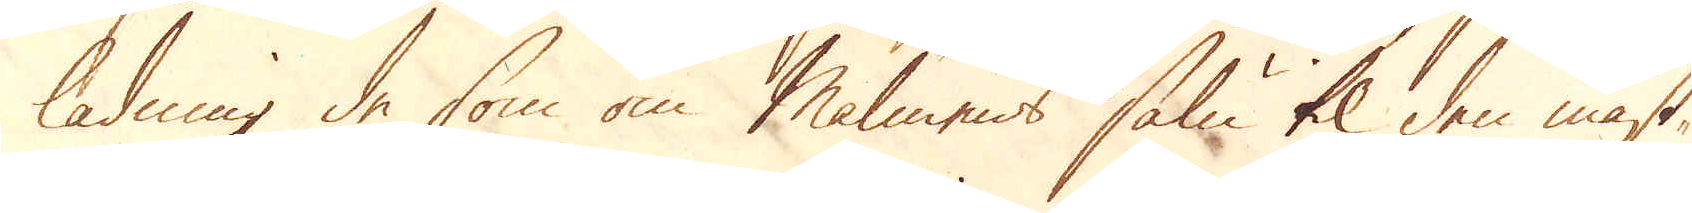ladning de som om Malmens salu til den mäst-
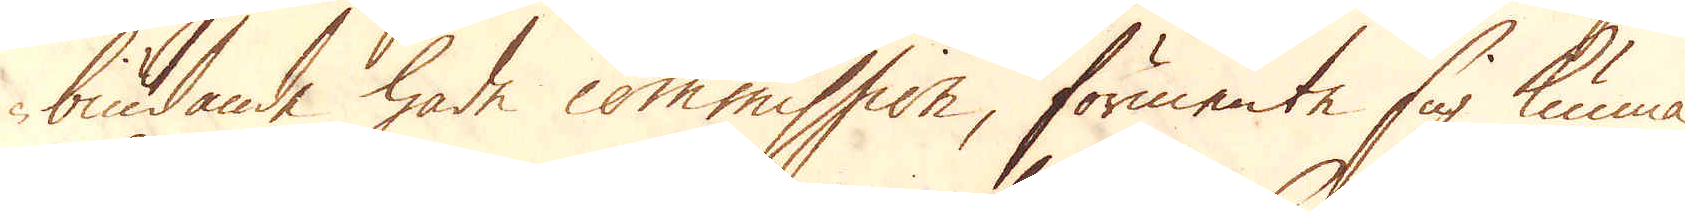biudande hade commission, förmente sig kunna
